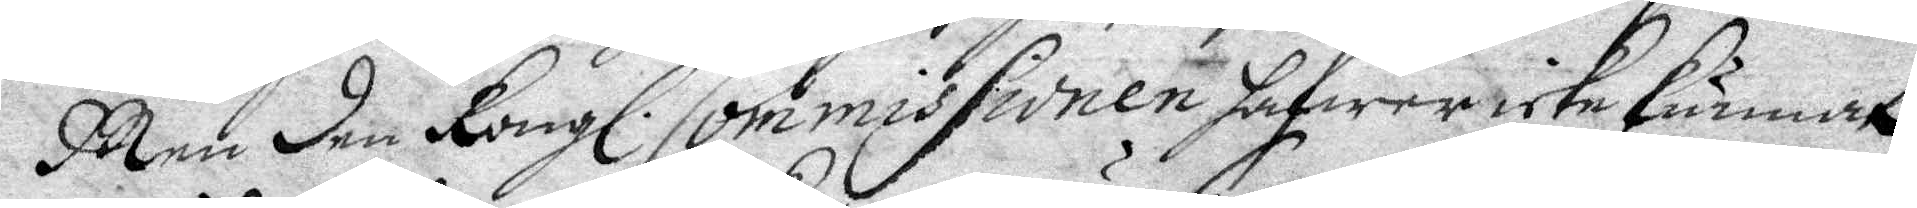Men den Kongl. Commissionen hafwer icke kunnat
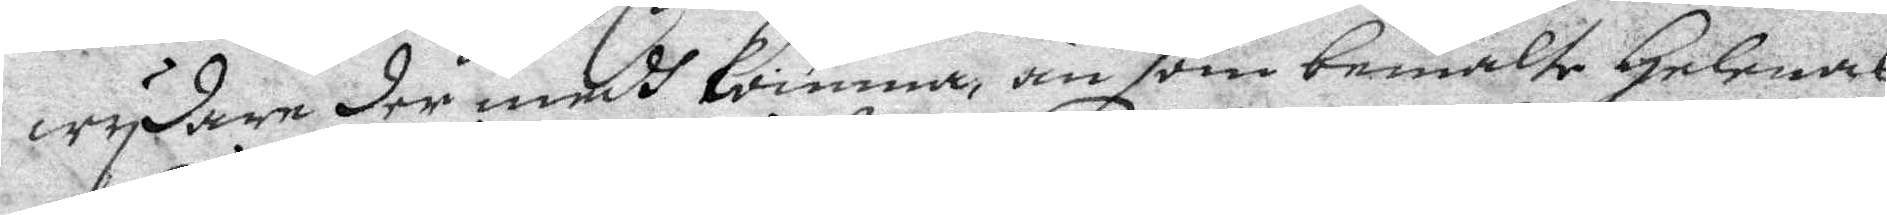wydare der medh komma, än som bemälte Helenas
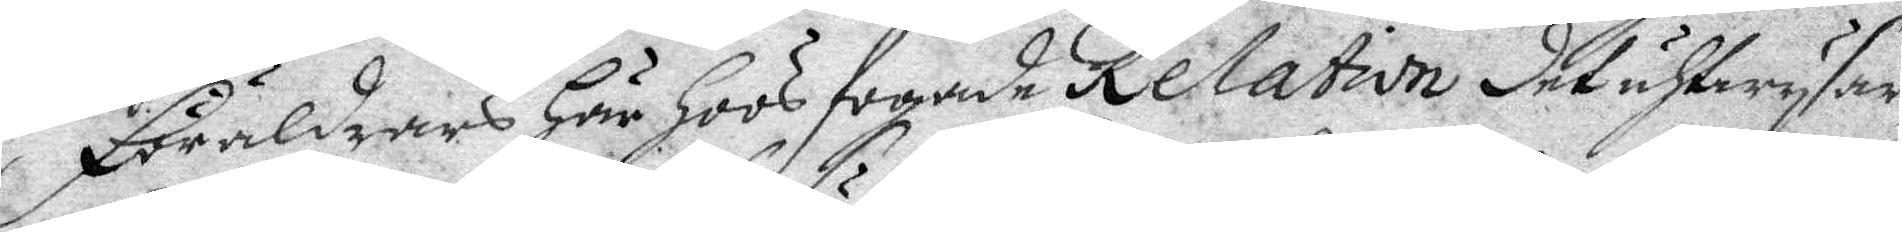Föräldrars Här Hoos fogade Relation det uhtwysar,
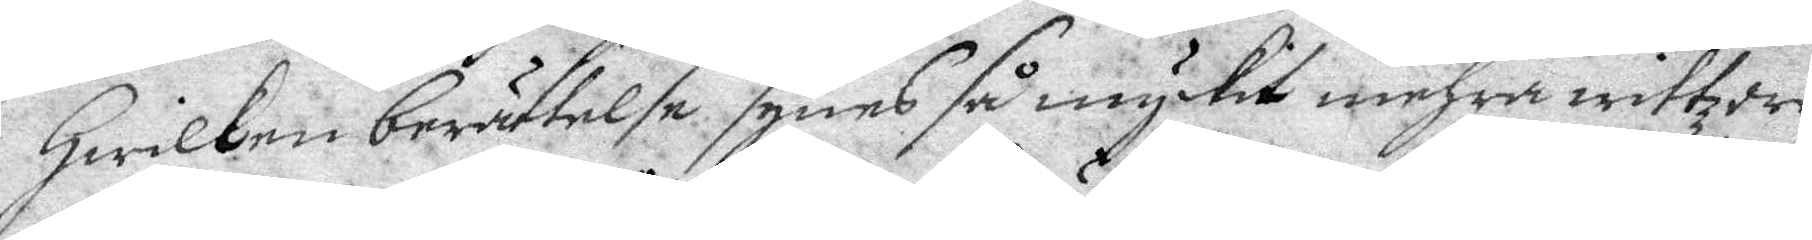Hwilken berättelse synes så mycket mehra wittzord
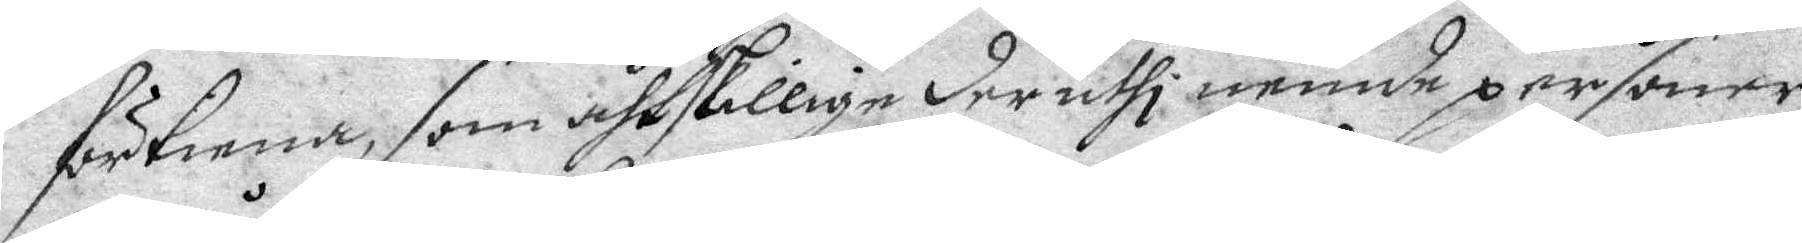förtiena, som åthskillige der uthi nemde personer
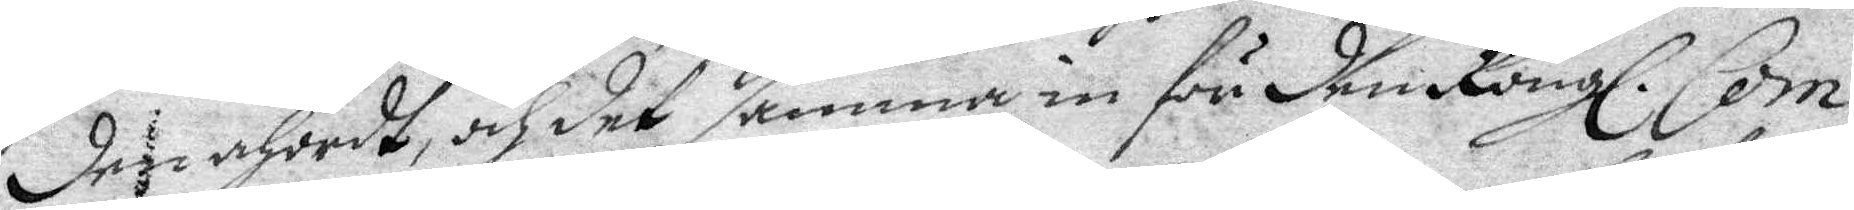den åhördt, och det samma in för den Kongl. Com¬
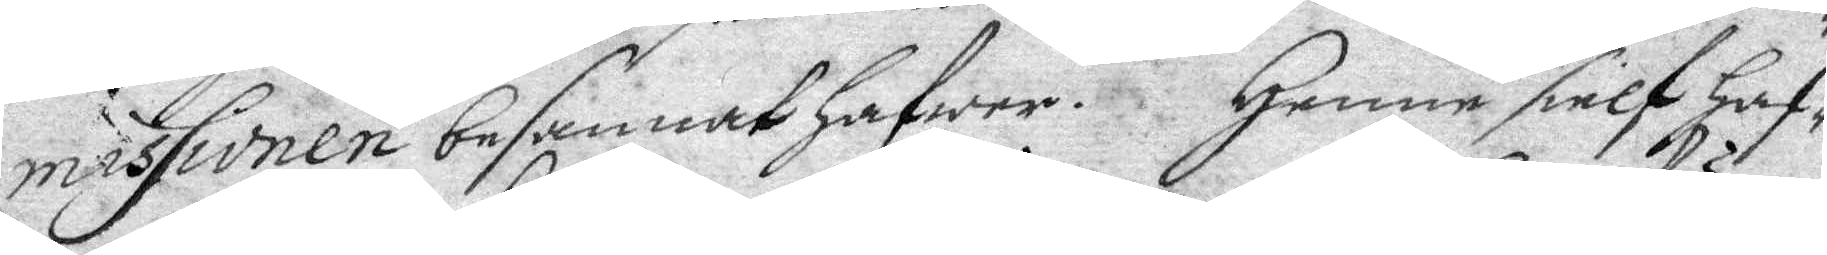missionen besannat hafwer. Henne sielf Haf¬
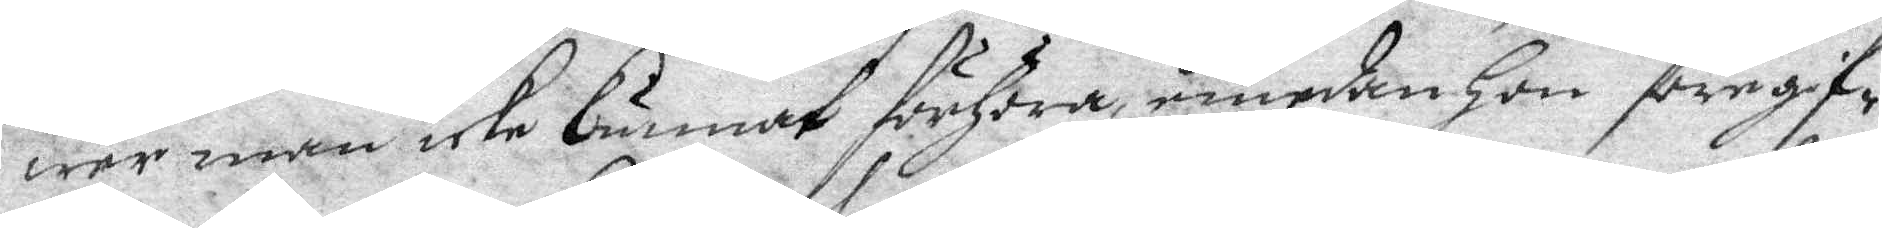wer man icke kunnat förhöra, emedan hon föregif¬
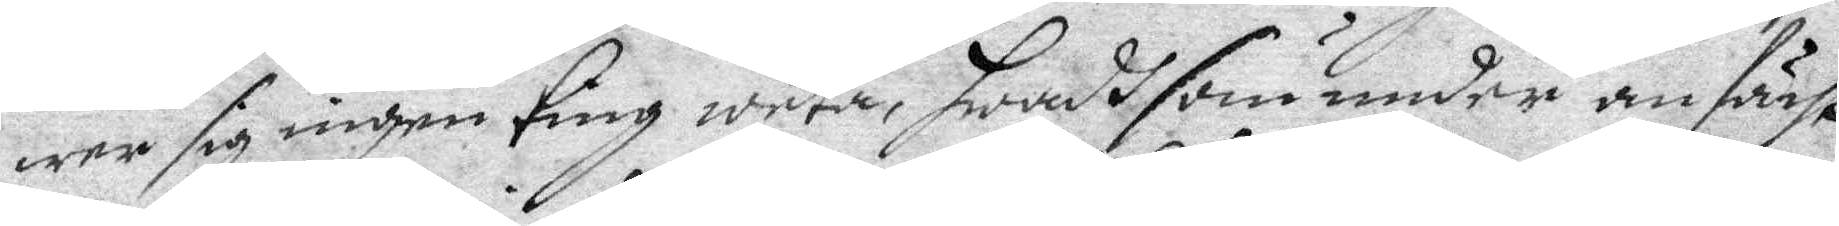wer sig ingen ting weta, hwadh som under anfächt¬
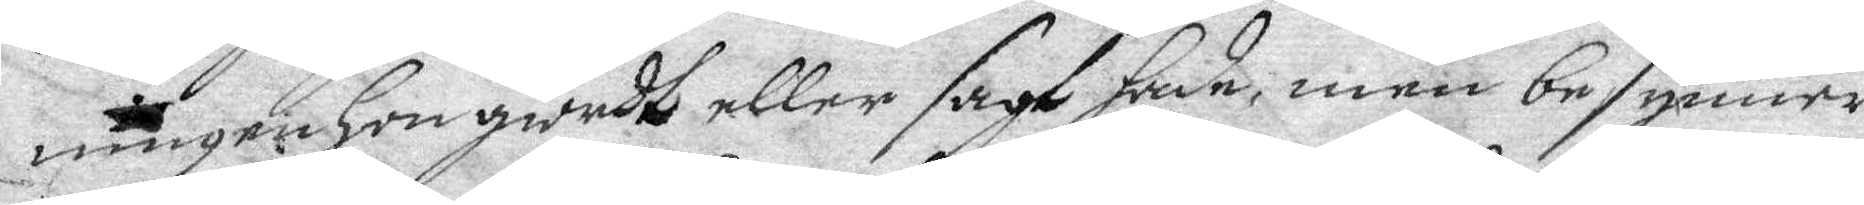ningen hon giordt eller sagt hade, men besynner¬
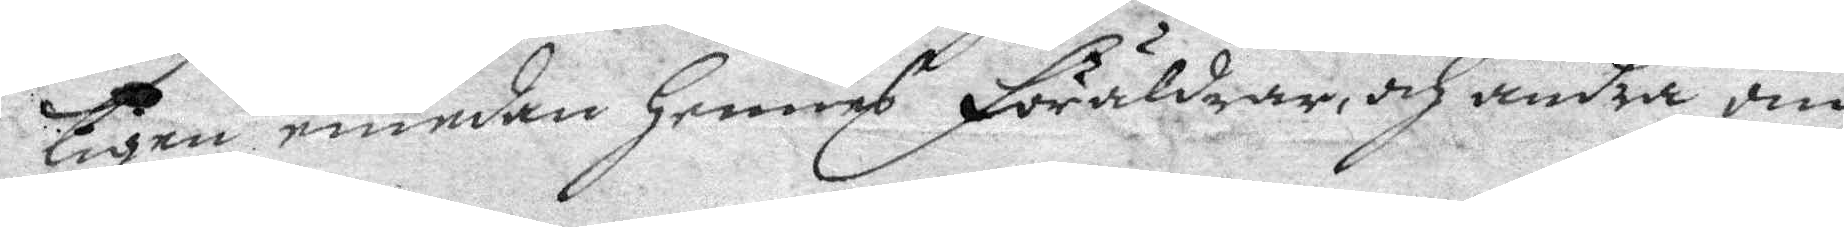ligen emedan hennes Föräldras, och andra om
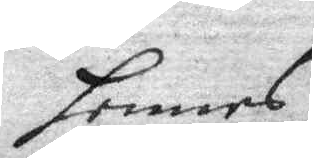hennes
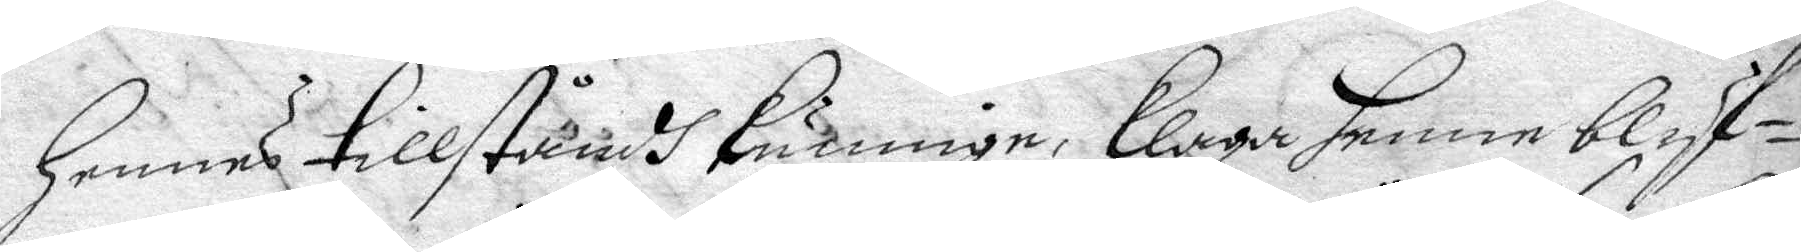hennes tillståndh kunnige, klaga henne blyf¬
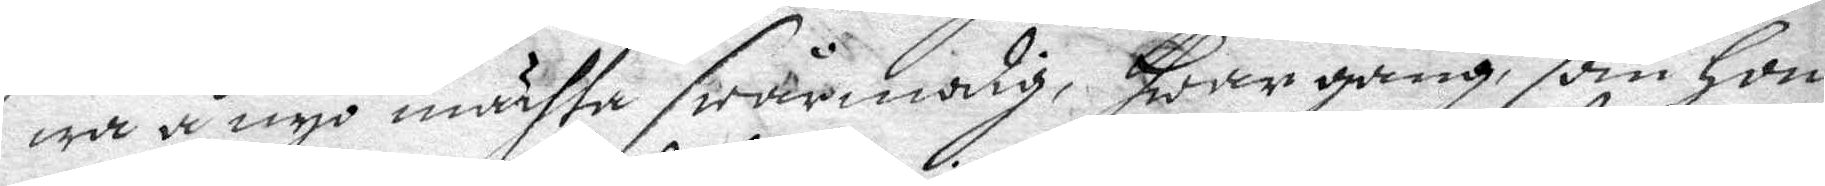wa å nyo mähta swårmodig, hwar gång som hon
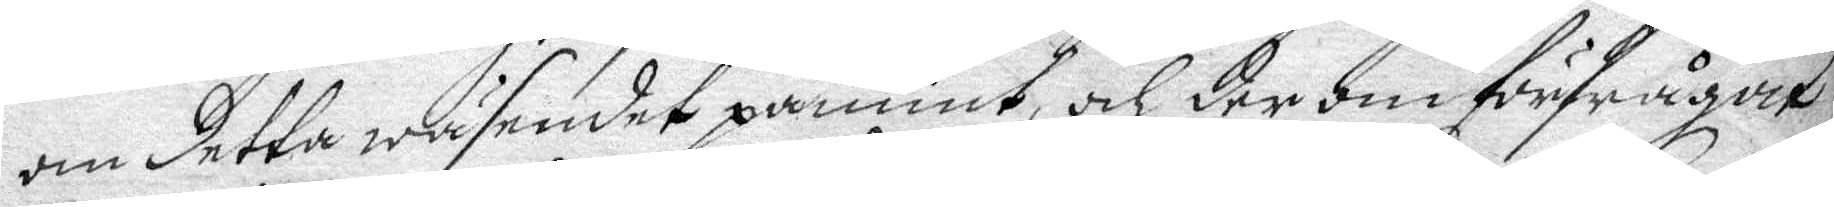om detta wäsendet påmint, och der om förfrågat
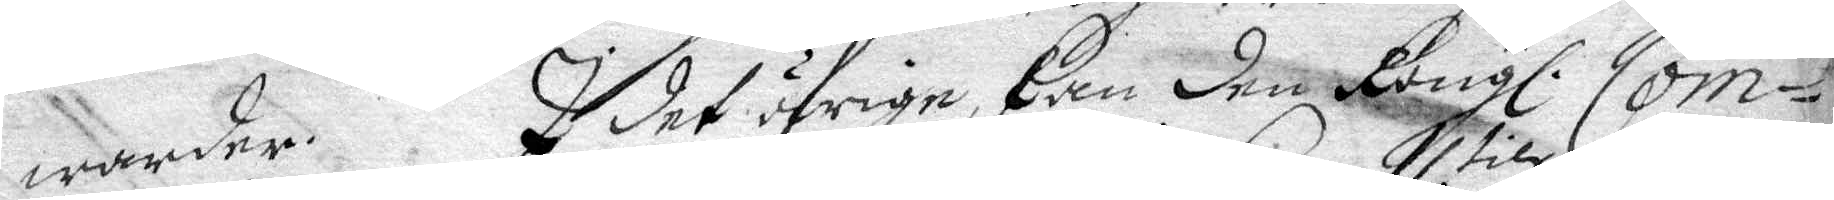warder. I det öfrige, kan den Kongl. Com¬
